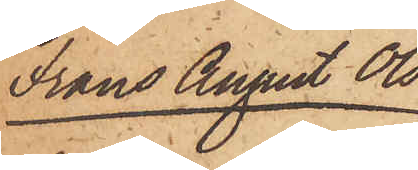Frans August Ols¬
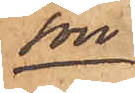son
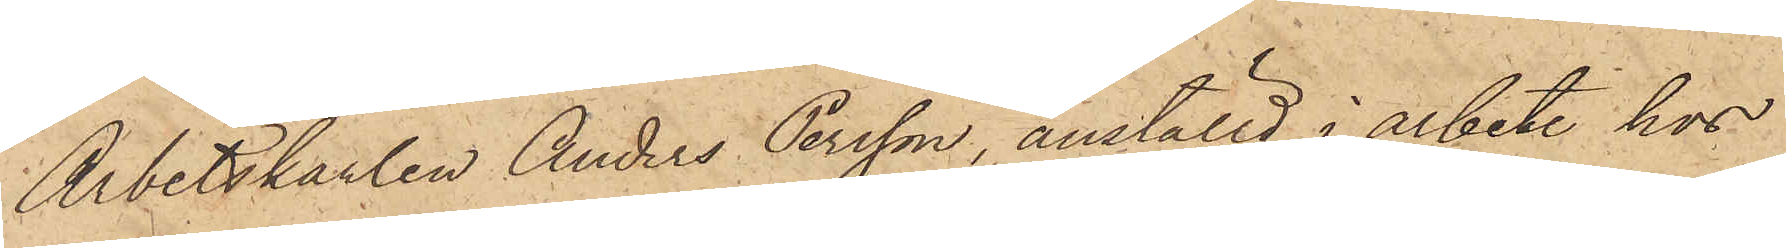Arbetskarlen Anders Persson, anställd i arbete hos
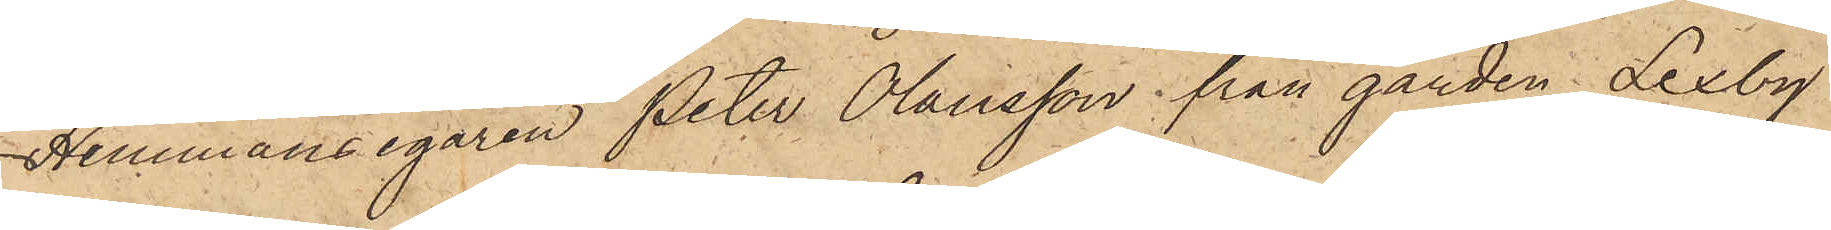Hemmansegaren Peter Olausson från gården Lexby
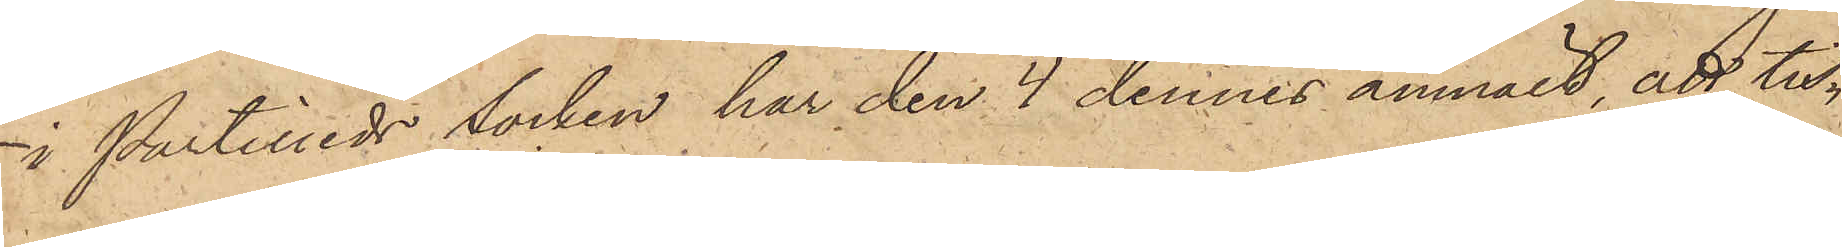i Partilleds socken, har den 4 dennes anmält, att tis¬
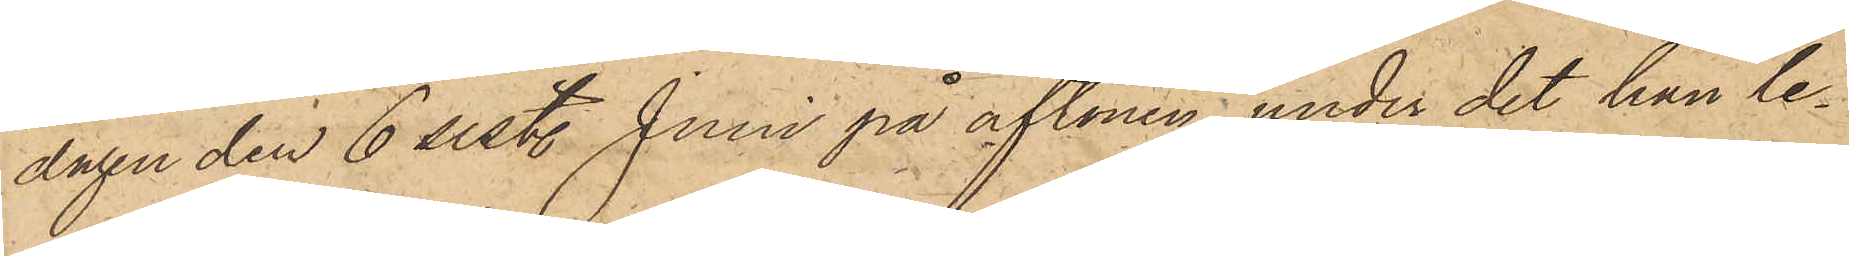dagen den 6 sist. Juni på aftonen, under det han le¬
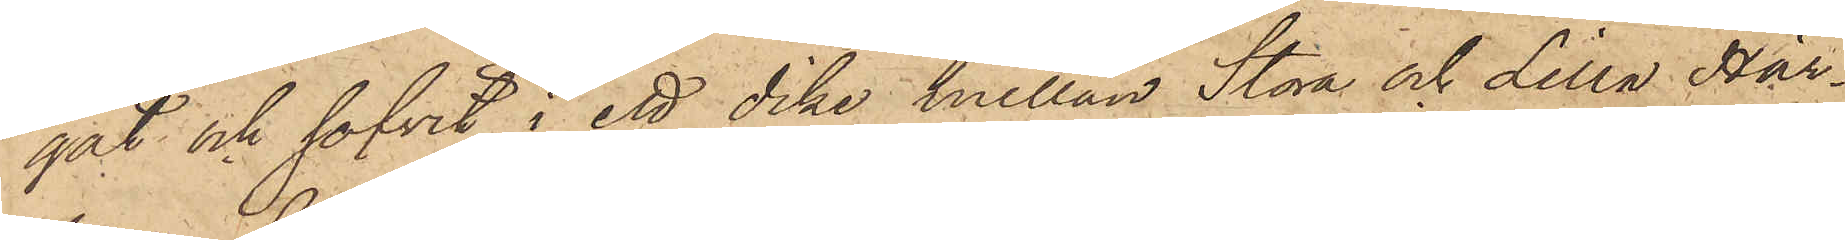gat och sofvit i ett dike mellan Stora och Lilla Här¬
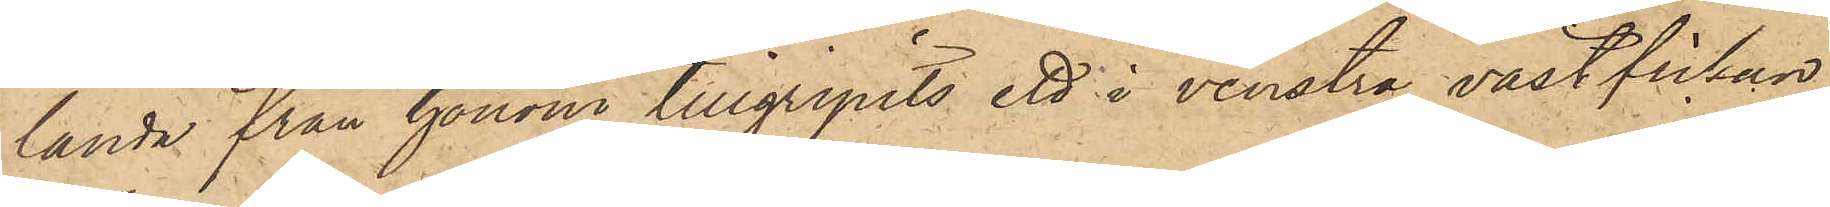landa från honom tillgripits ett i venstra västfickan
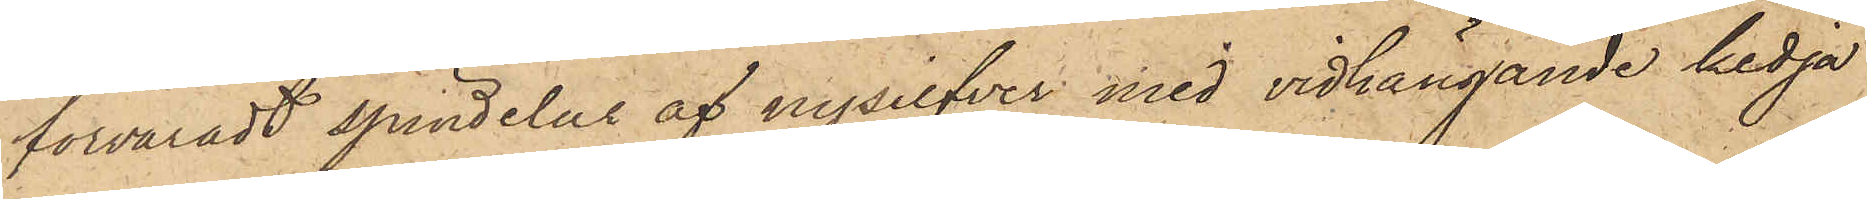förvaradt spindelur af nysilfver med vidhängande kedja
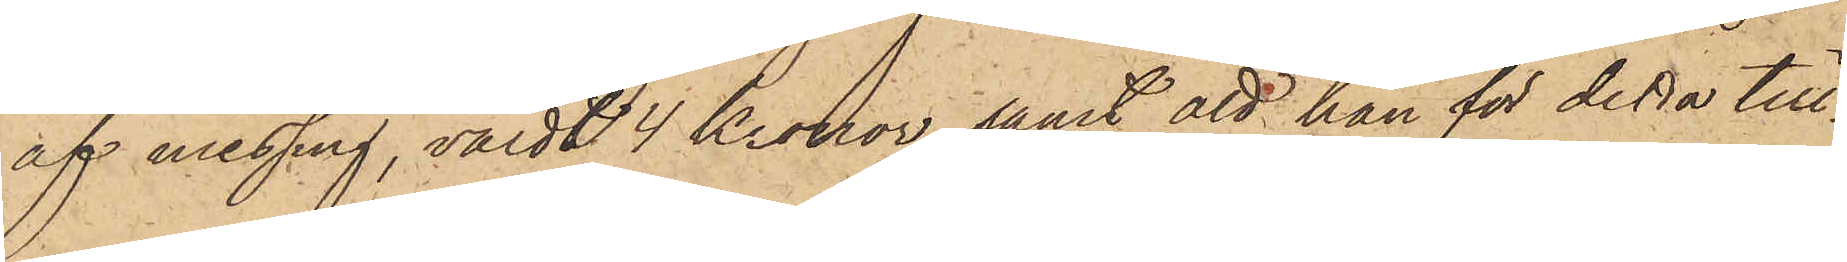af messing, värdt 4 Kronor, samt att han för detta till¬
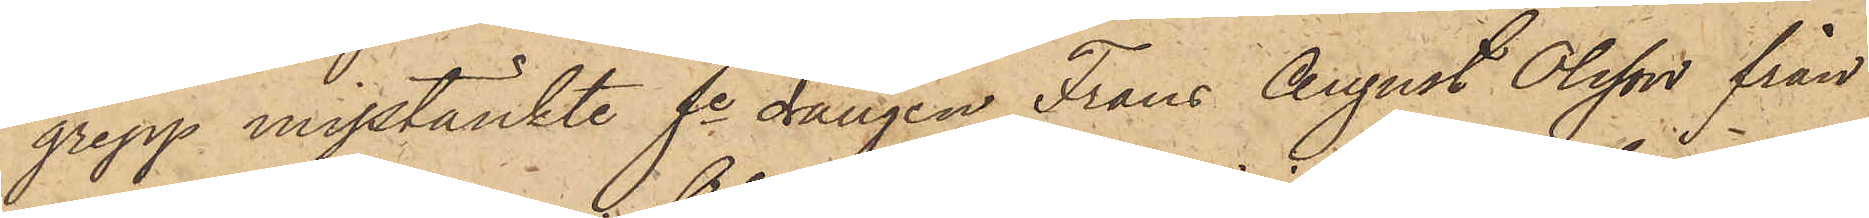grepp misstänkte fe drängen Frans August Olsson från
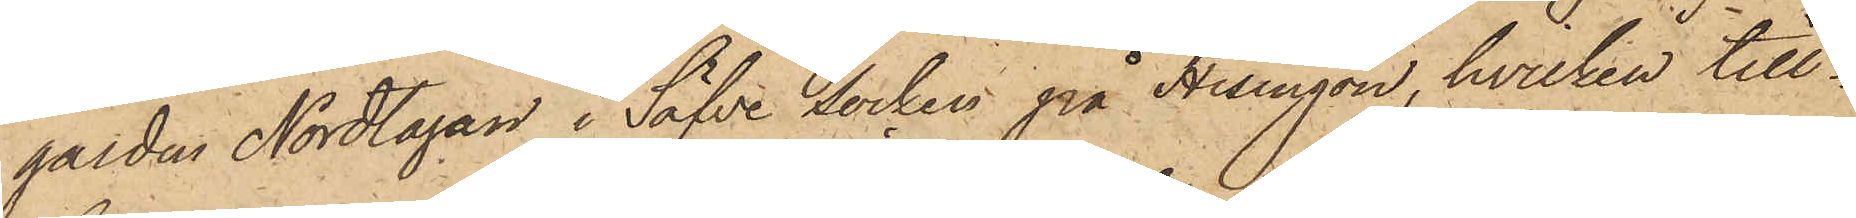gården Nordtagan i Säfve socken på Hisingön, hvilken till¬
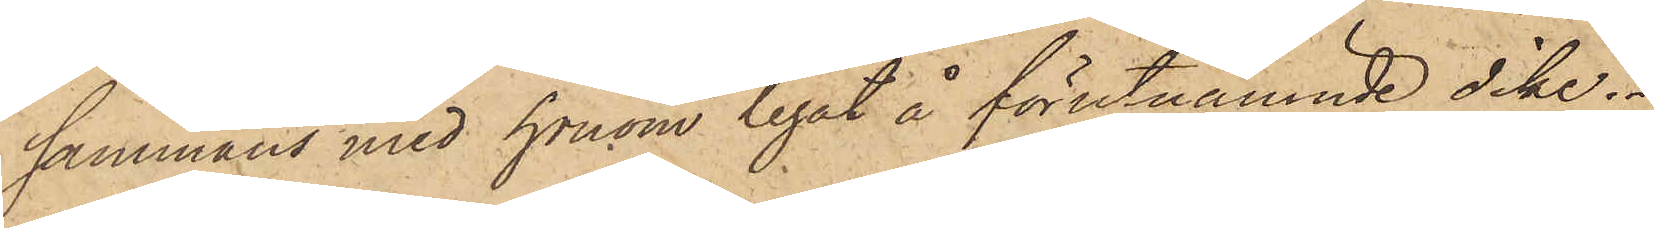sammans med honom legat å förutnämnde dike.
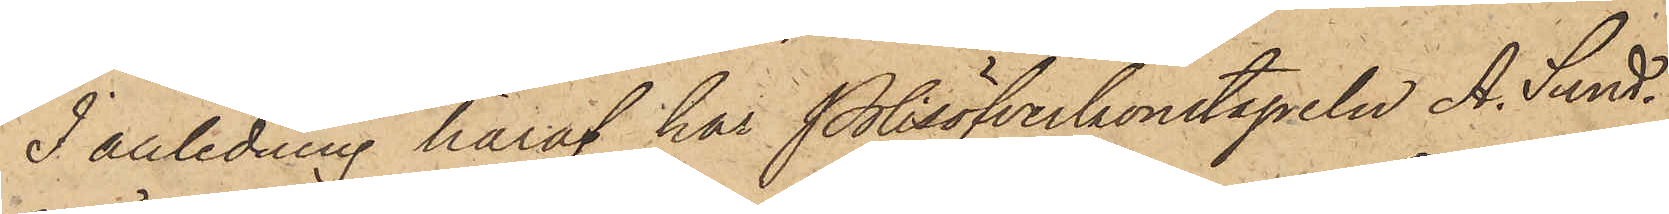I anledning häraf har Polisöfverkonstapeln A. Sund¬
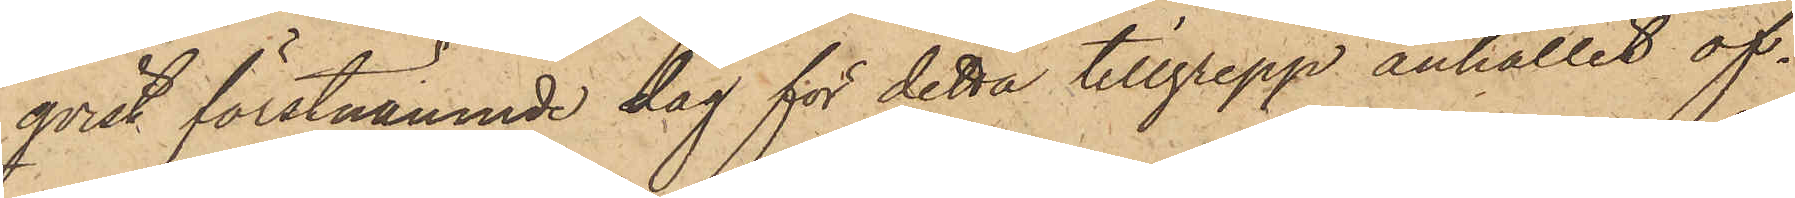qvist förstnämnde dag för detta tillgrepp anhållit of¬
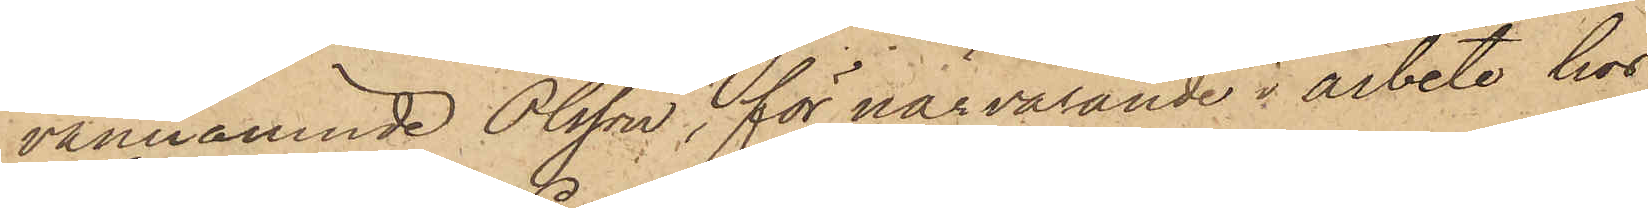vannämnde Olsson, för närvarande i arbete hos
